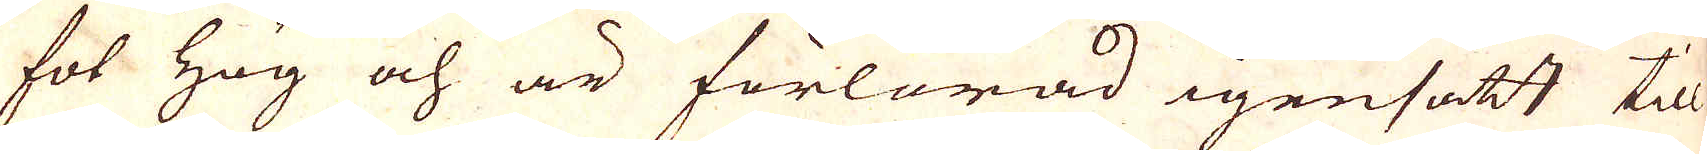fot hög och är förlorad igensatt till
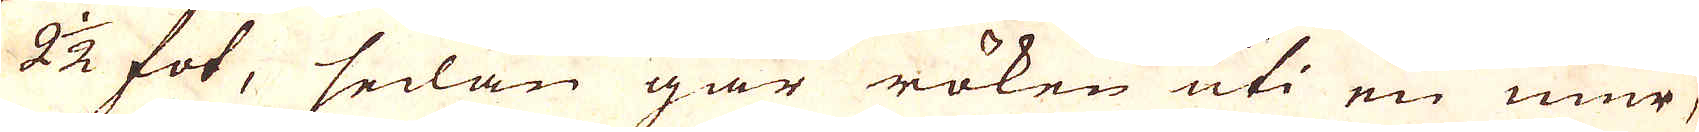2 1/2 fot, sedan går röken uti en mur,
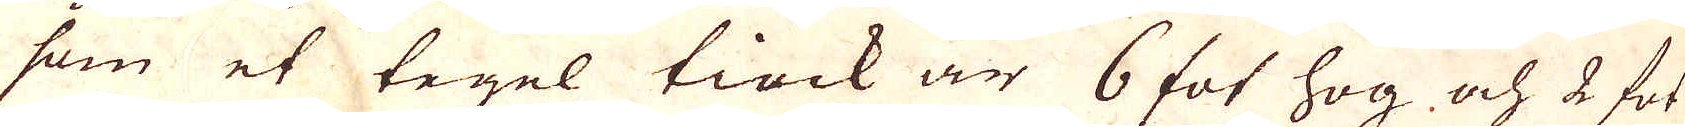som et tegel tiock är 6 fot hög och 2 fot
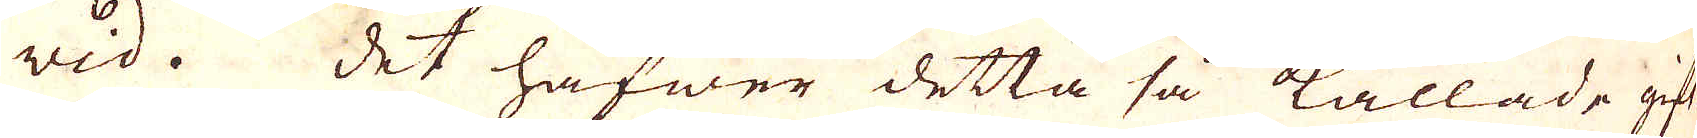wid. Det hafwer detta så kallade gift-
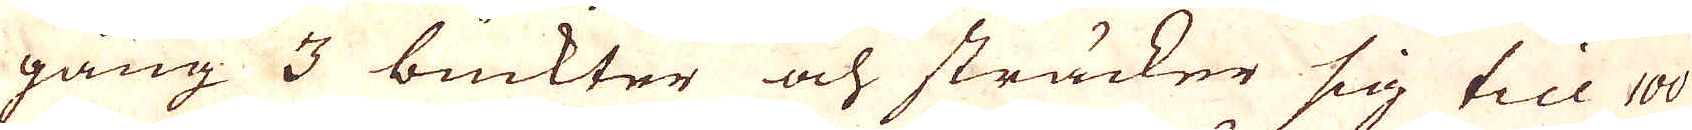gång 3 buckter och sträcker sig till 100
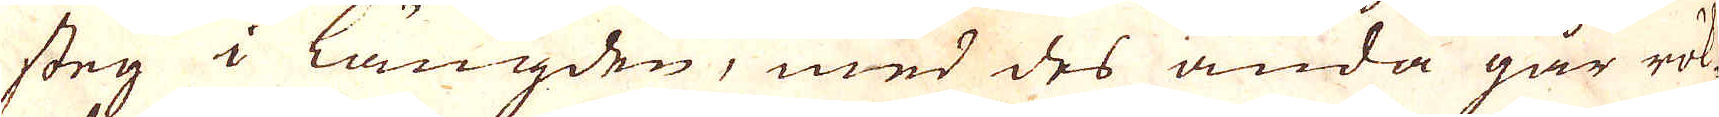steg i längden, med des ända går rök-
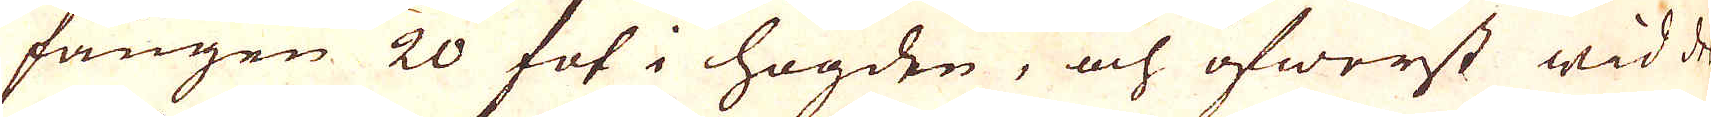fången 20 fot i högden, och öfwerst wid dess
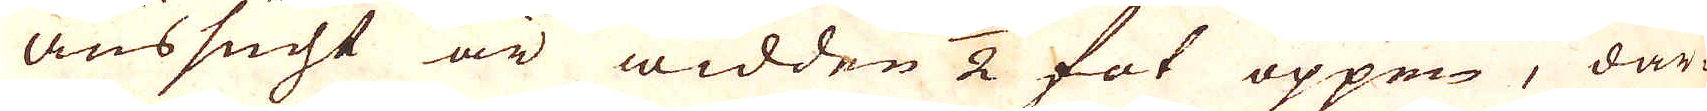anssucht är widden 1/2 fot öppen, där
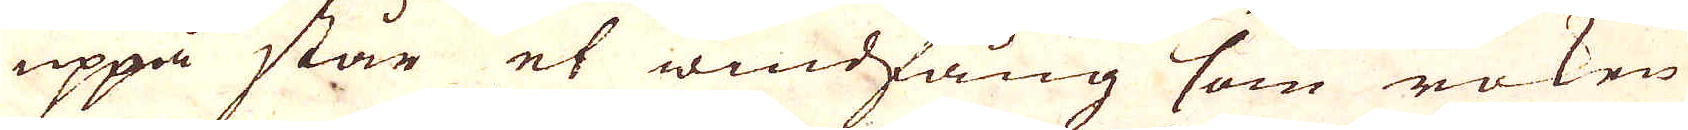uppå står et windfång som röken
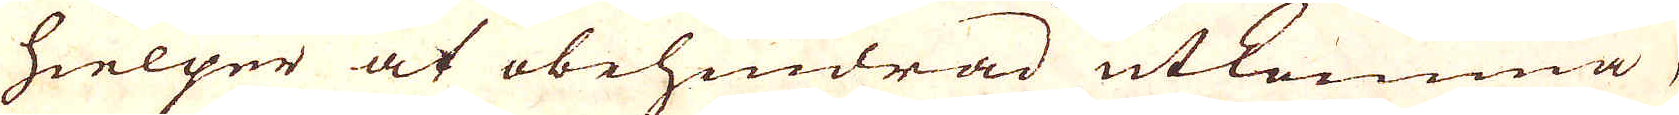hielper at obehindrad utkomma,
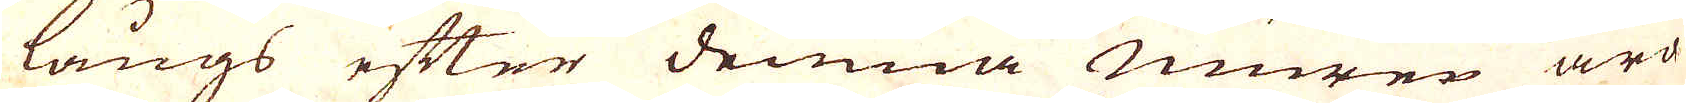längs efter denna muren äro
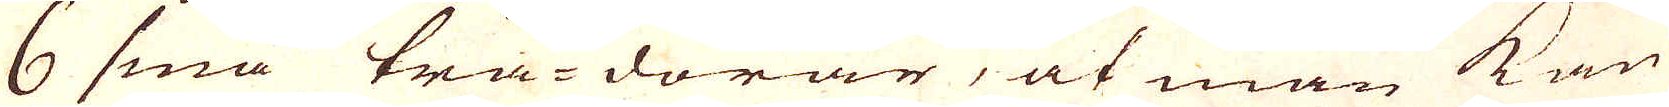6 små trä-dörar, at man kan
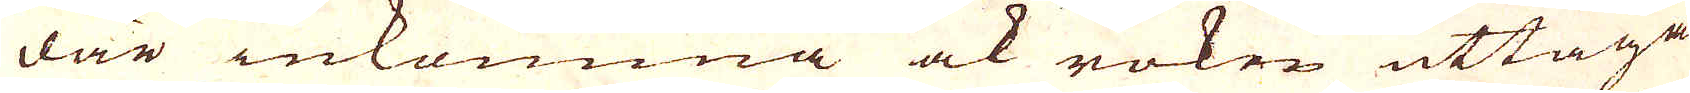där inkomma ock röken uttaga
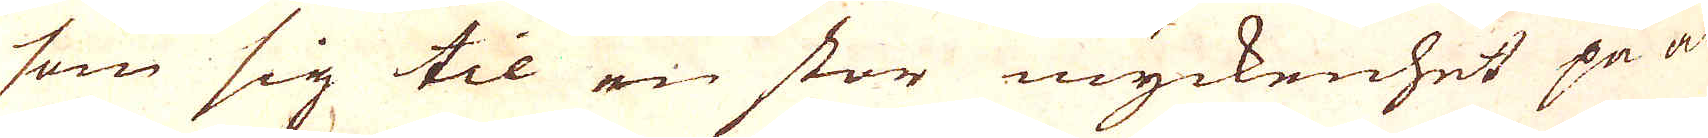som sig til en stor myckenhet på al-
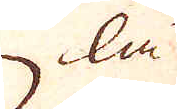la
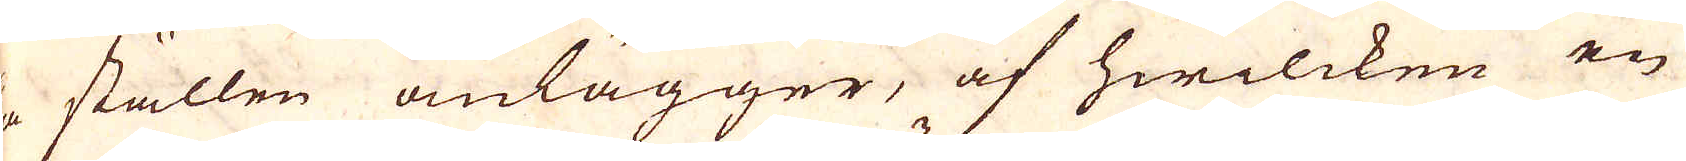la ställen anlägger, af hwilcken en
